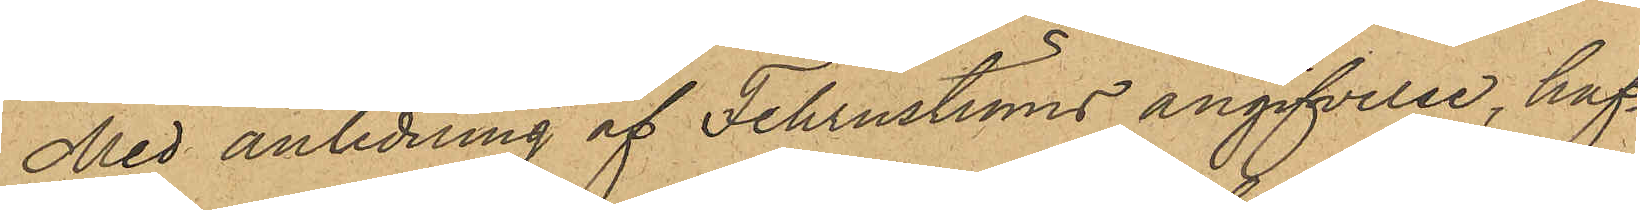Med anledning af Fehrnströms angifvelse, haf¬
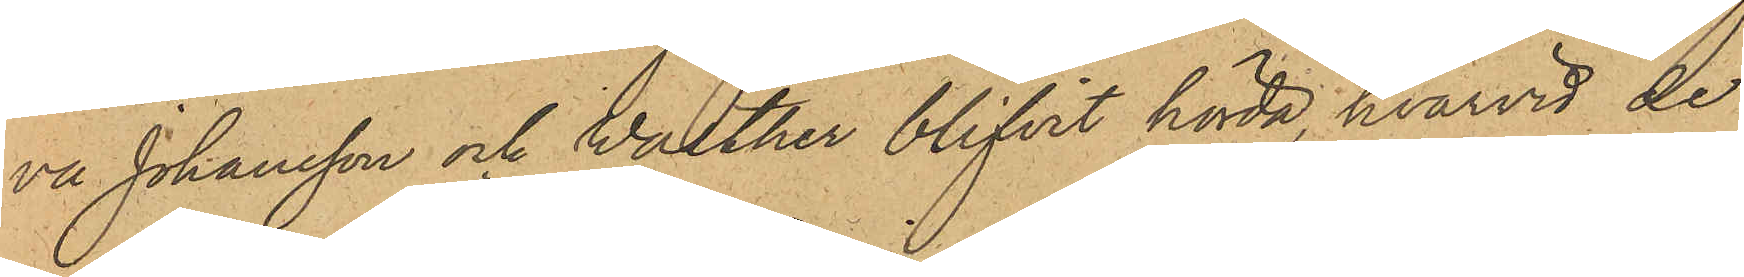va Johansson och Warther blifvit hörda, hvarvid de
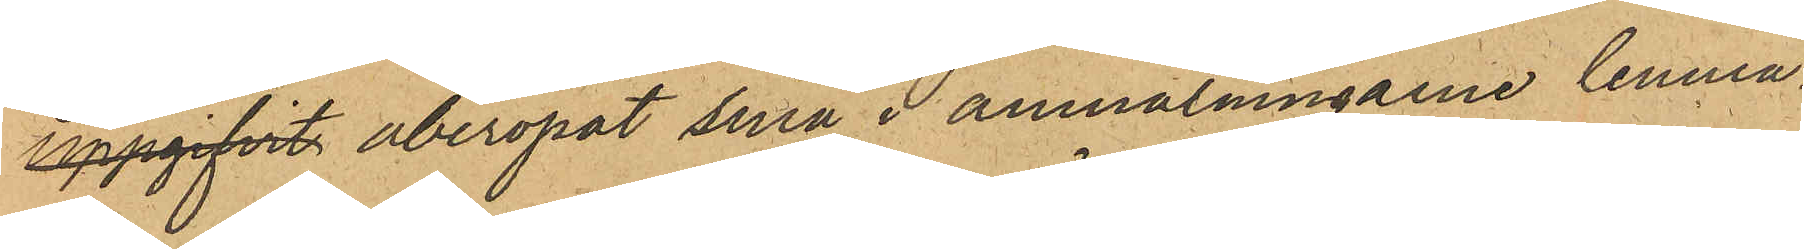uppgifvit åberopat sina i anmälningarne lemna¬
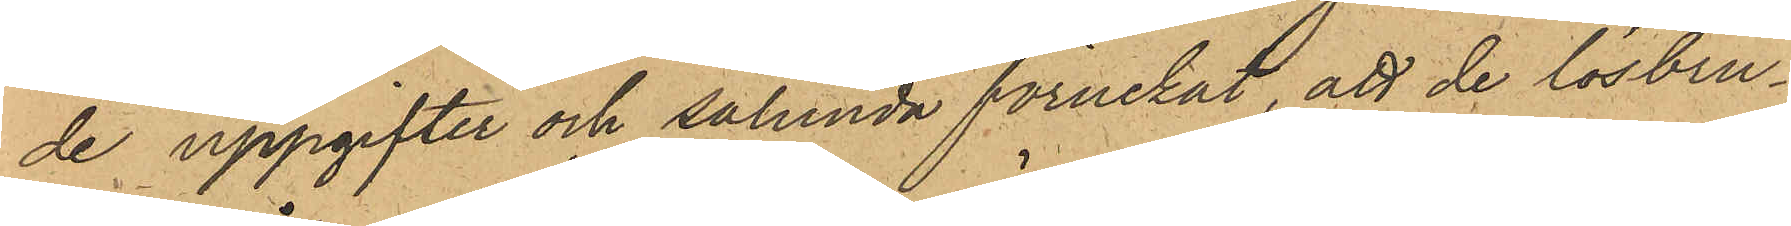de uppgifter och sålunda förnekat, att de lösbru¬
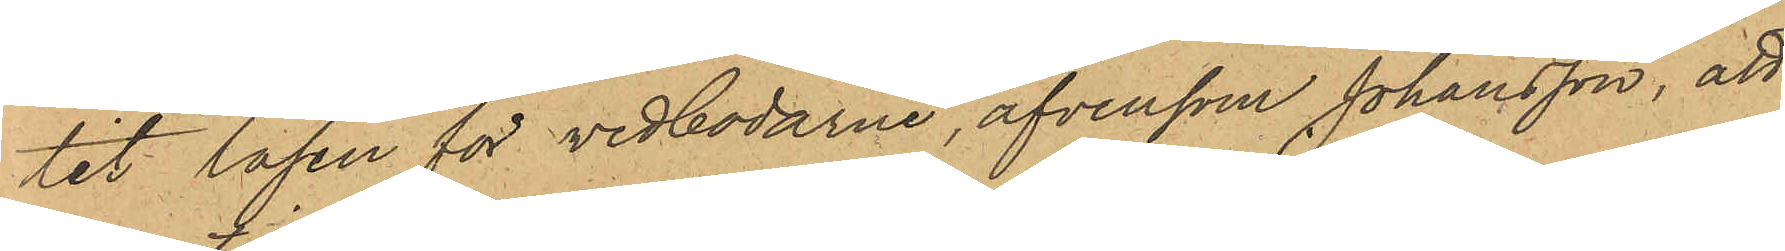tit låsen för vedbodarne, äfvensom Johansson, att
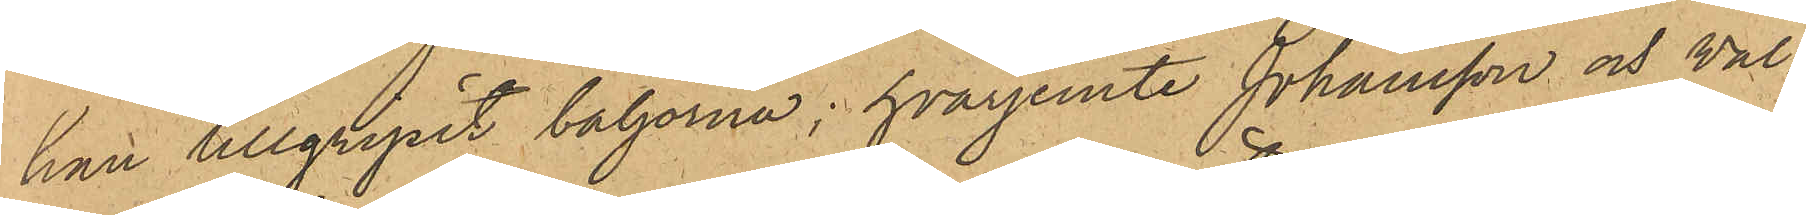han tillgripit baljorna; hvarjemte Johansson och Wal¬
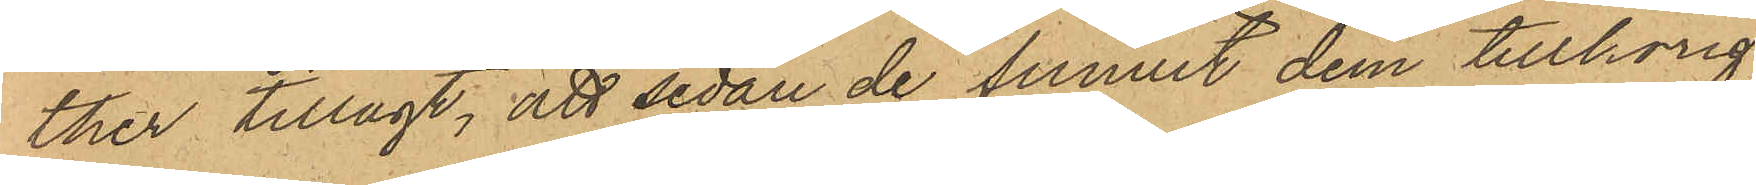ther tillagt, att sedan de funnit dem tillhörig
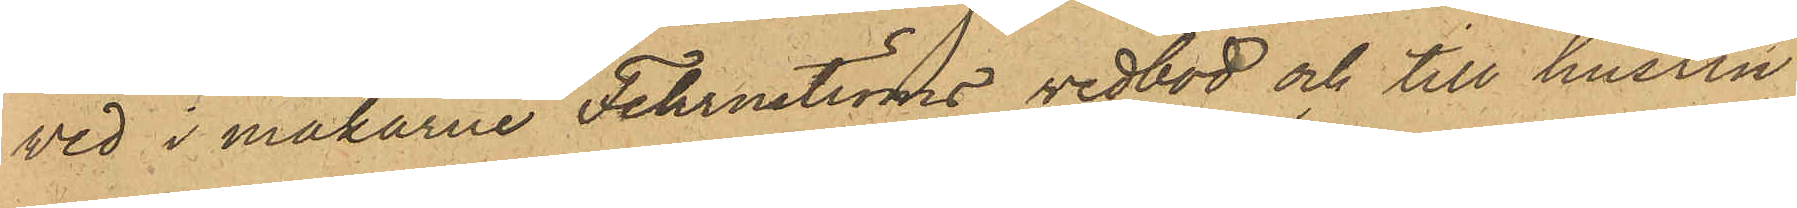ved i makarne Fehrnströms vedbod och till hustru
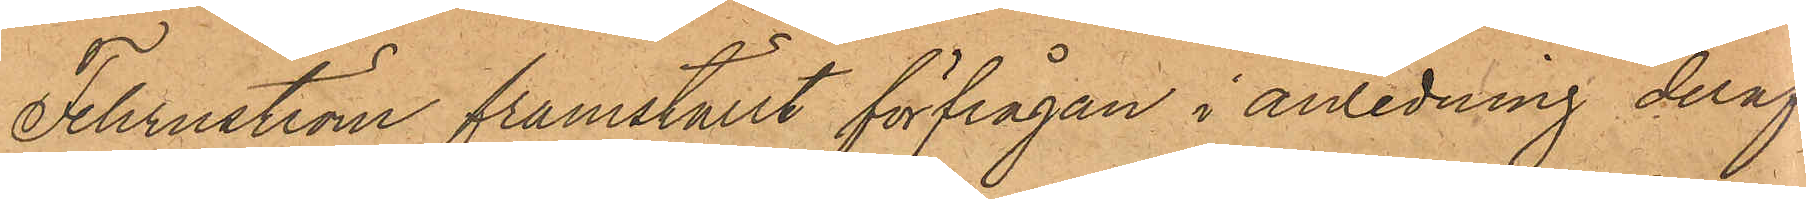Fehrnström framställt förfrågan i anledning deraf,
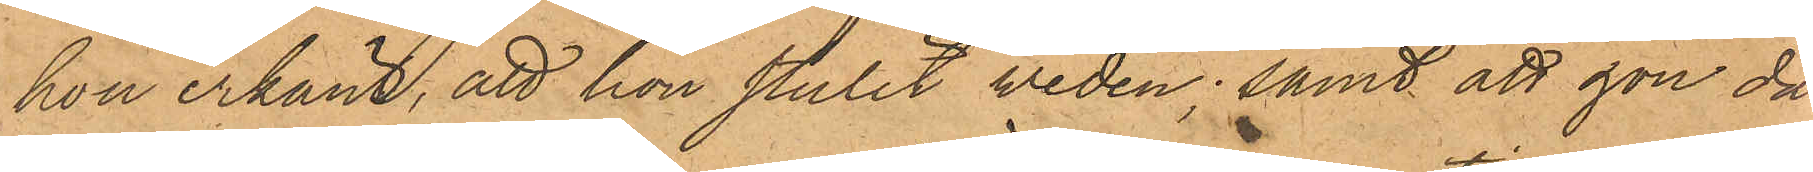hon erkänt, att hon stulit weden; samt att hon då
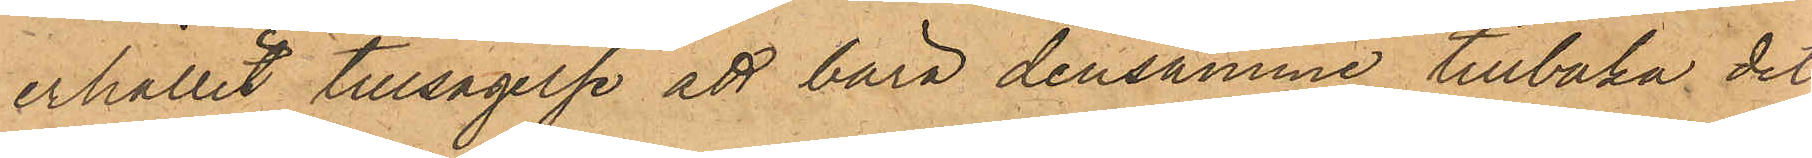erhållit tillsägelse att bära densamme tillbaka dit
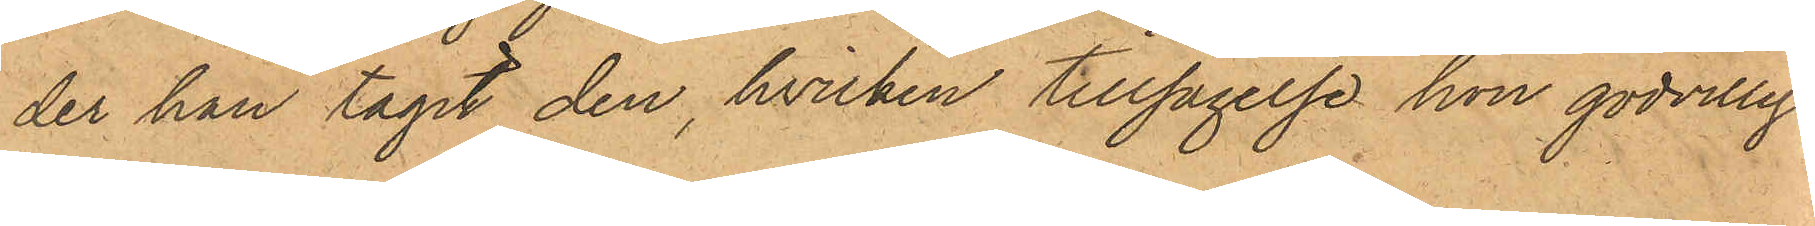der hon tagit den, hvilken tillsägelse hon godvilligt
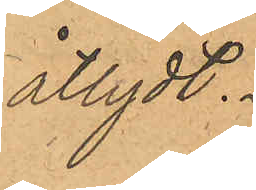åtydt.
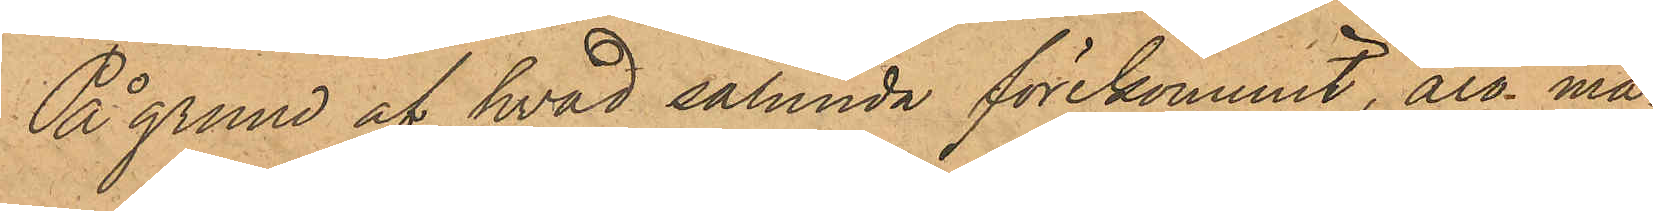På grund af hvad sålunda förekommit, äro må¬
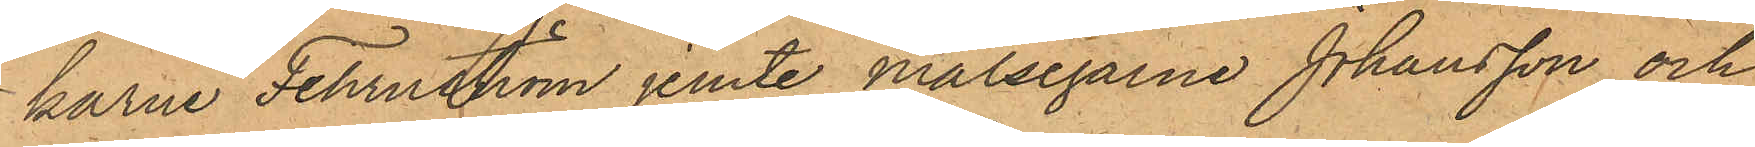karne Fehrnström jemte målsegarne Johansson och
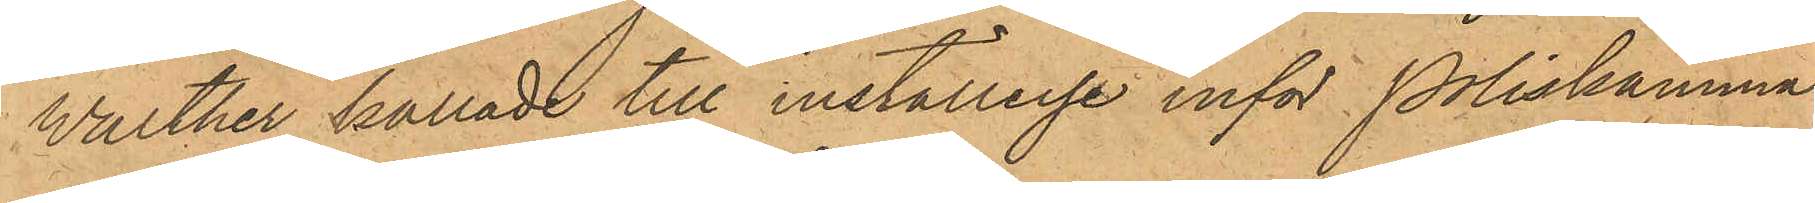Walther kallade till inställelse inför Poliskamma¬
